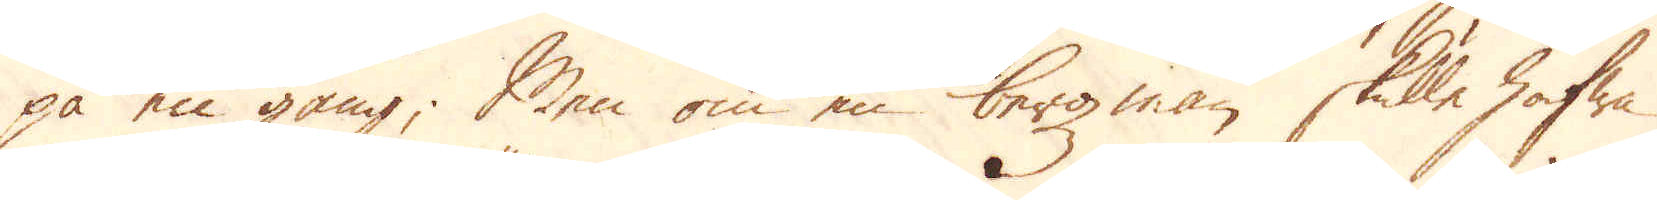på en gång; Men om en bergzman skulle hafwa
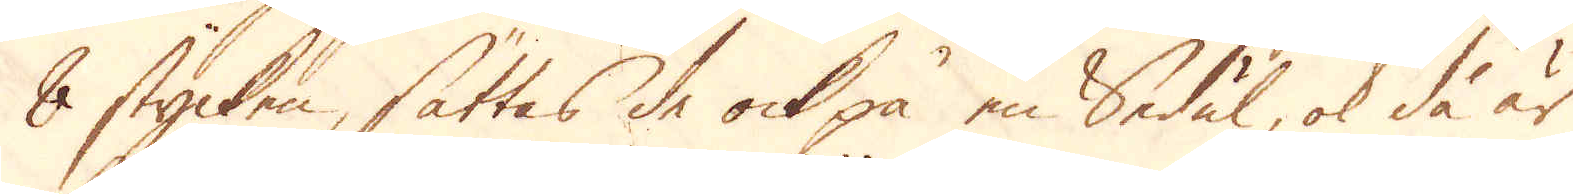8 stycken, sättas de ock på en Sedäl, ok då är
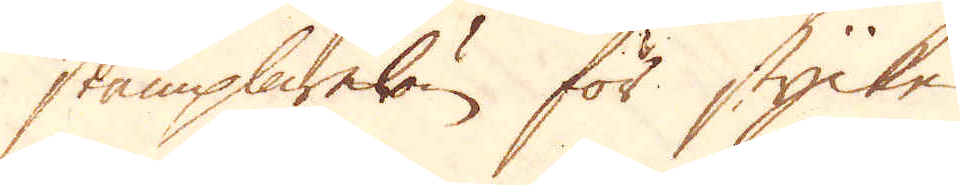stämplarelön för stycke
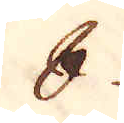8
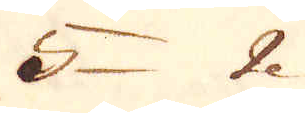5 2
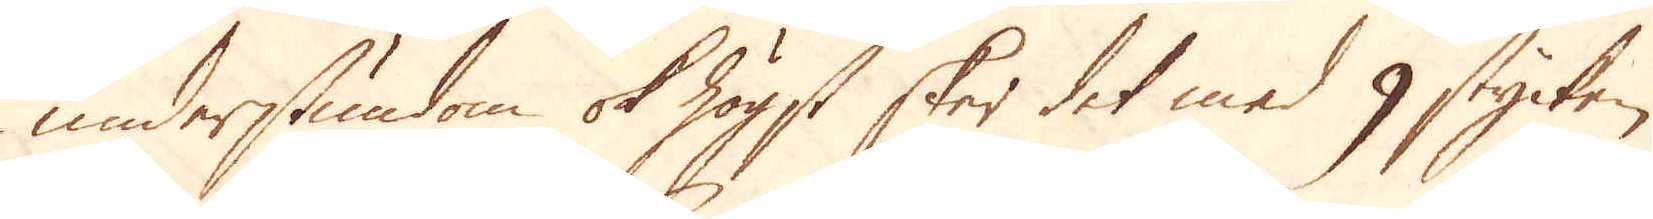understundom ok högst sker det med 9 stycken
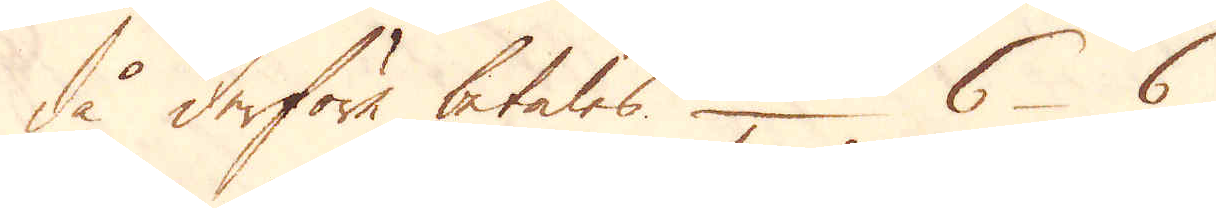då derföre betales 6 6
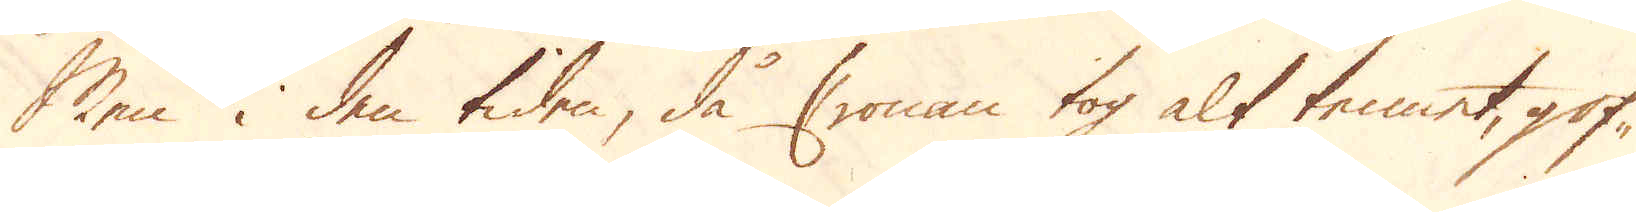Men i den tiden, då Cronan tog alt tennet, gof-
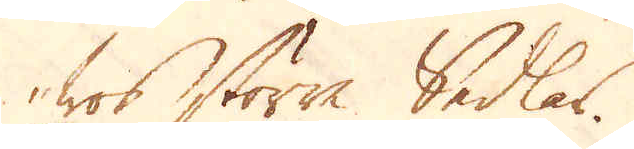wos större Sedlas.
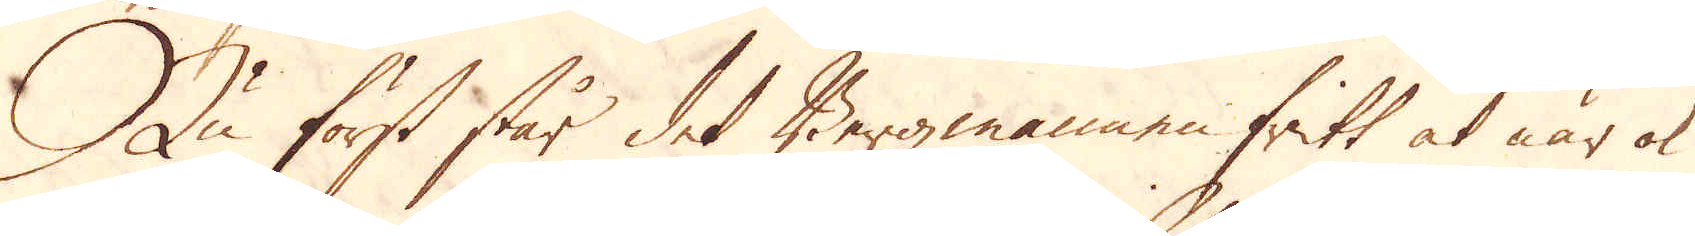Nu först står det Bergmannen fritt at när ok
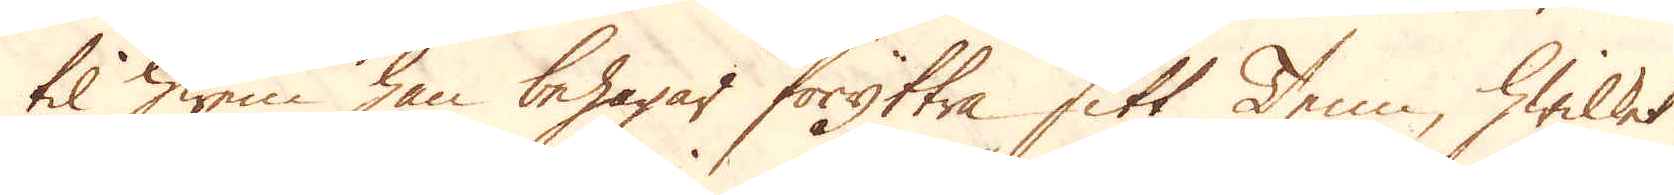til hwen han behagar föryttra sitt Tenn, hwilket
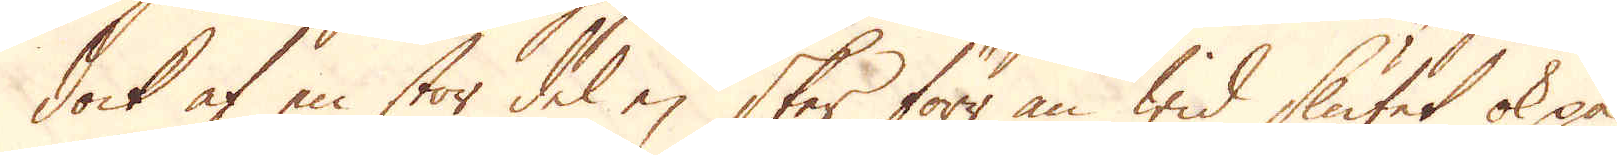dock af en stor del ej sker förr än wid slutet ok på
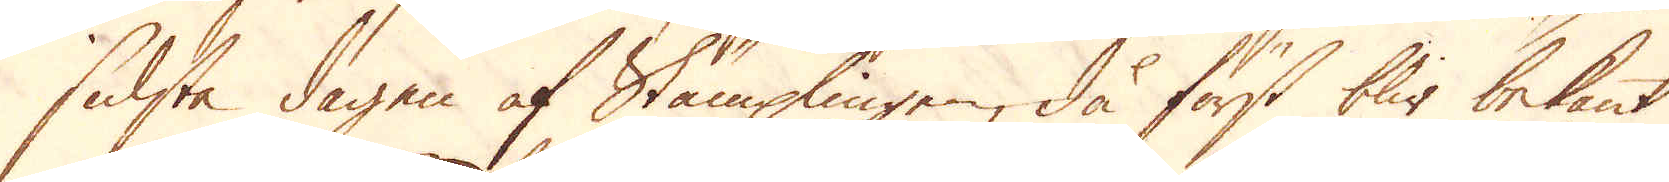sidsta dagen af Stämplingen, då först blir bekant
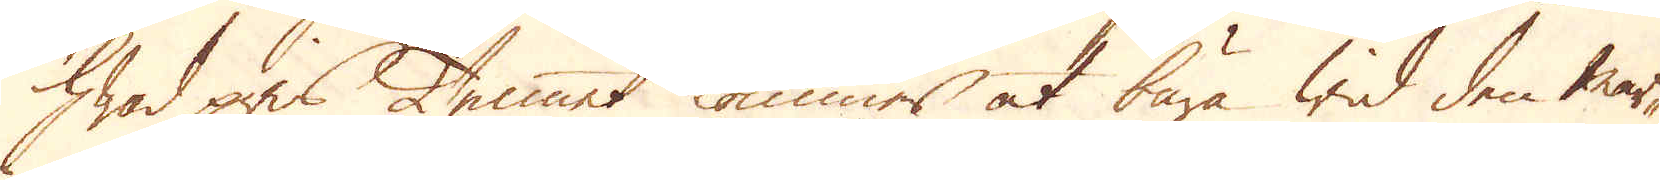hwad pris Tennet kommer at bära wid den mar-
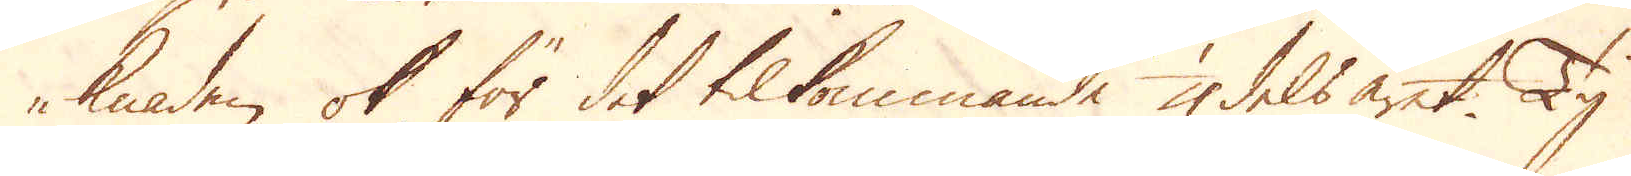knaden ok för det tillkommande 1/4 dels året. Ty
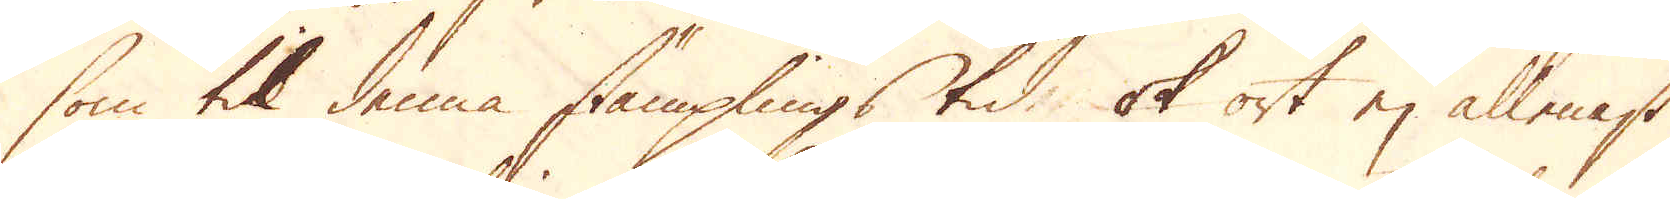som til denna stämplings tid, ok ort ej allenast
